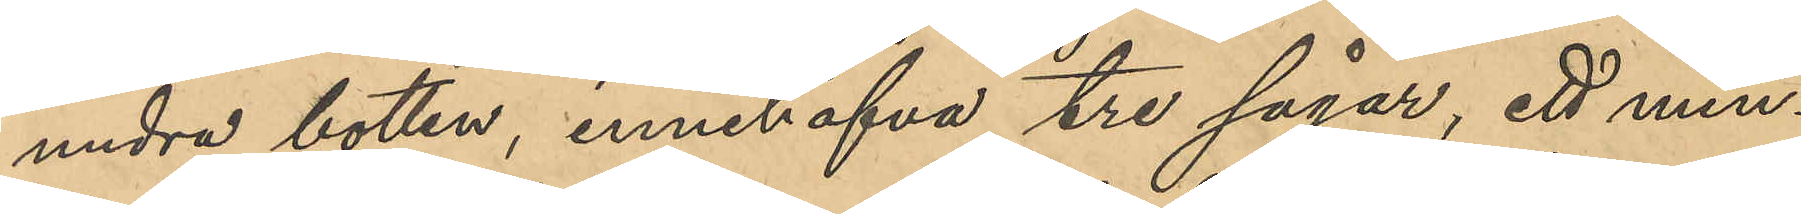undre botten, innehafva tre sågar, ett min¬
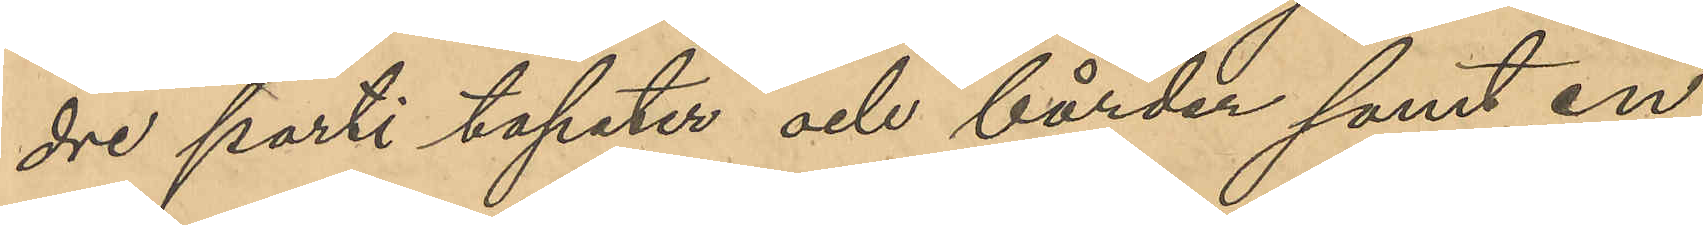dre parti tapeter och bårder samt en
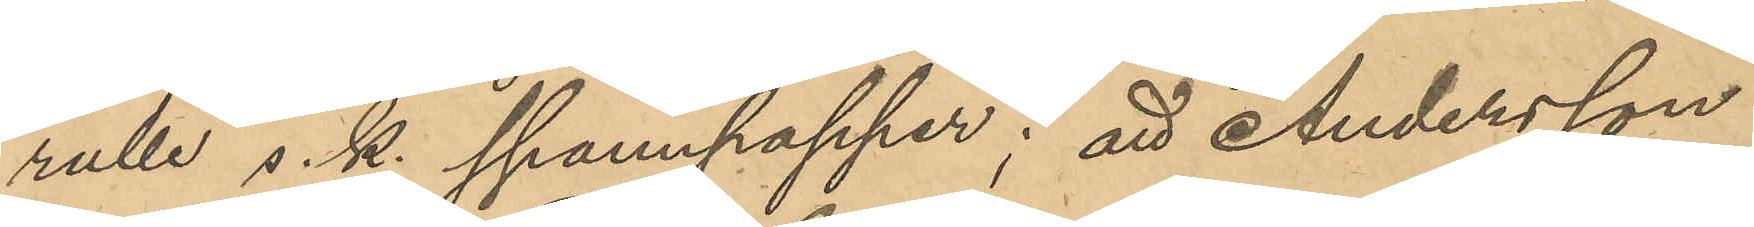rulle s. k. spannpapper; att Andersson
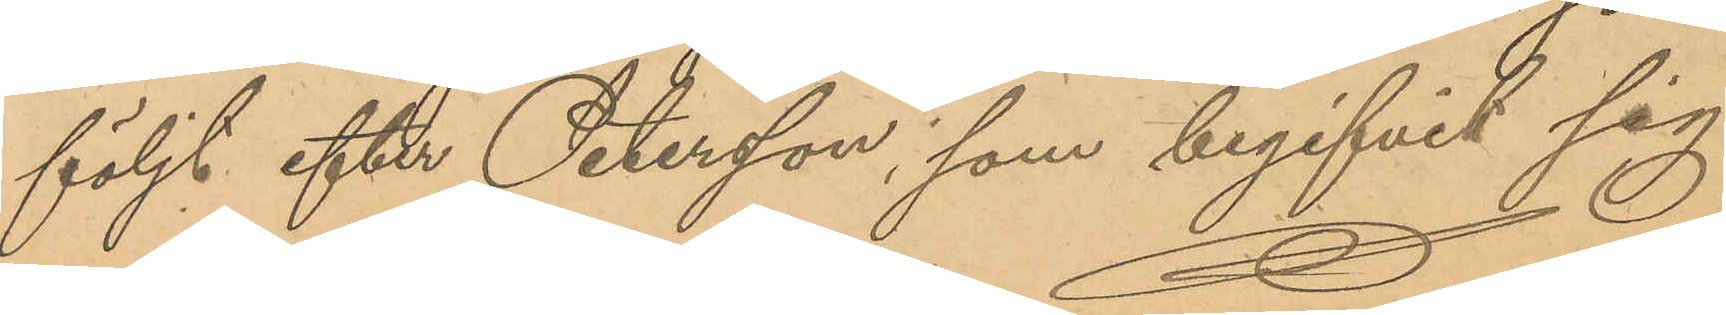följt efter Petersson, som begifvit sig
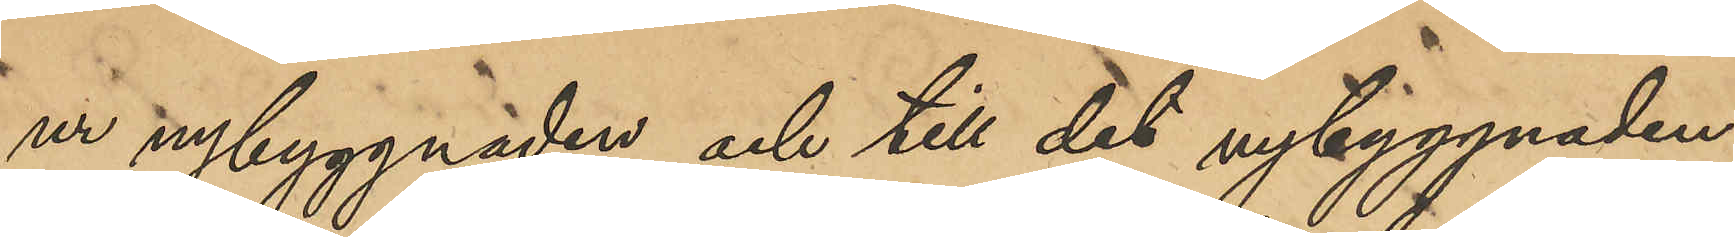ur nybyggnaden och till det nybyggnaden 
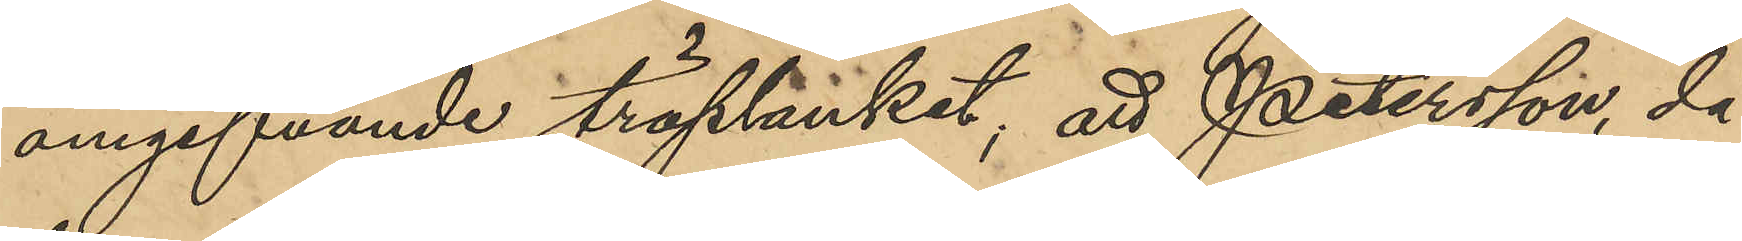angifvande träplanket, att Petersson, då
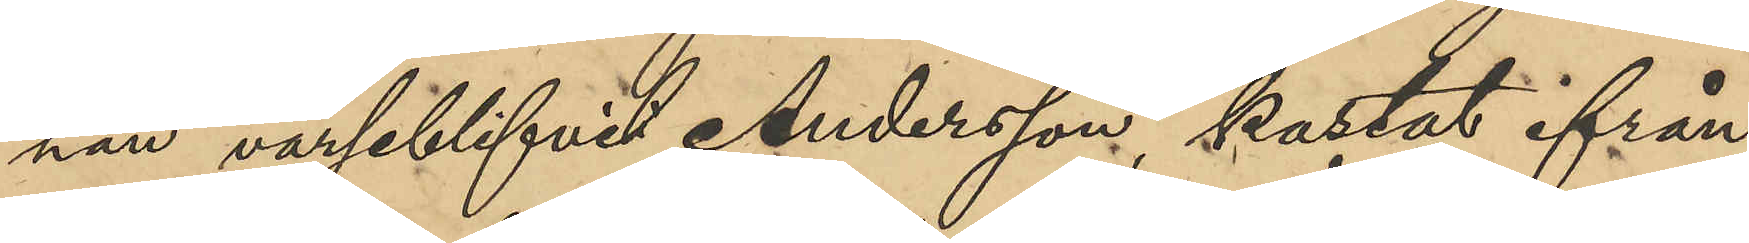han varseblifvit Andersson kastat ifrån
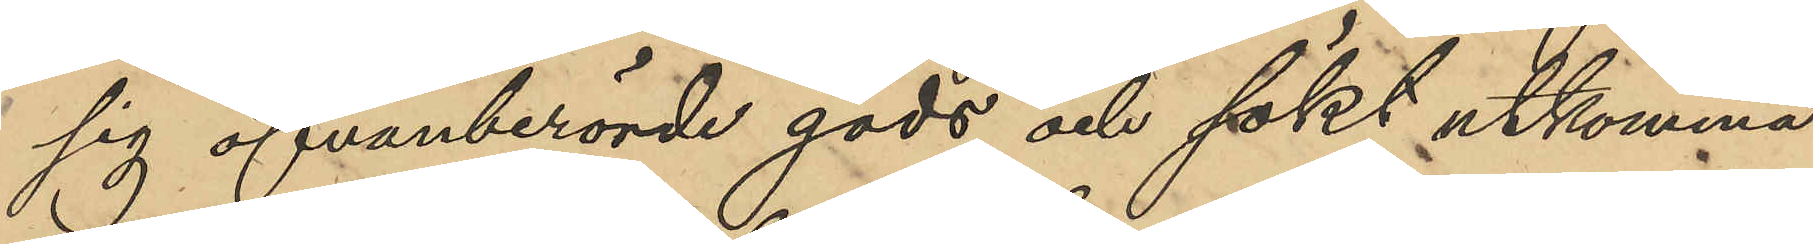sig ofvanberörde gods och sökt utkomma
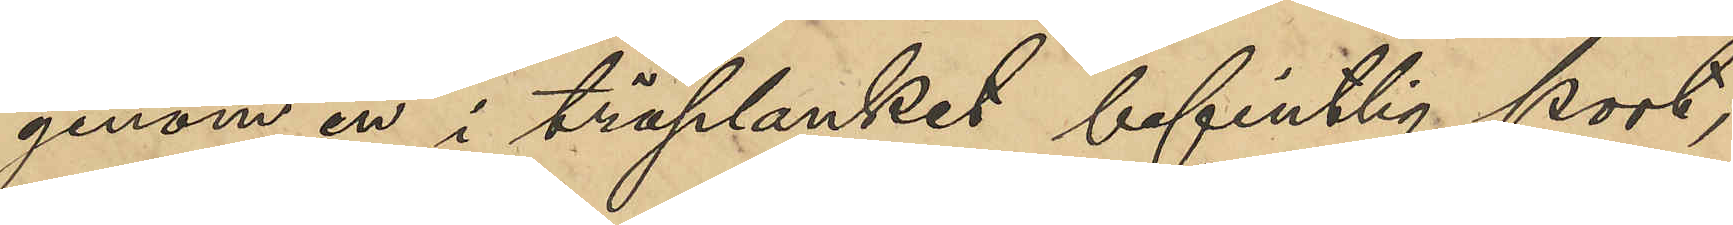genom en i träplanket befintlig port;
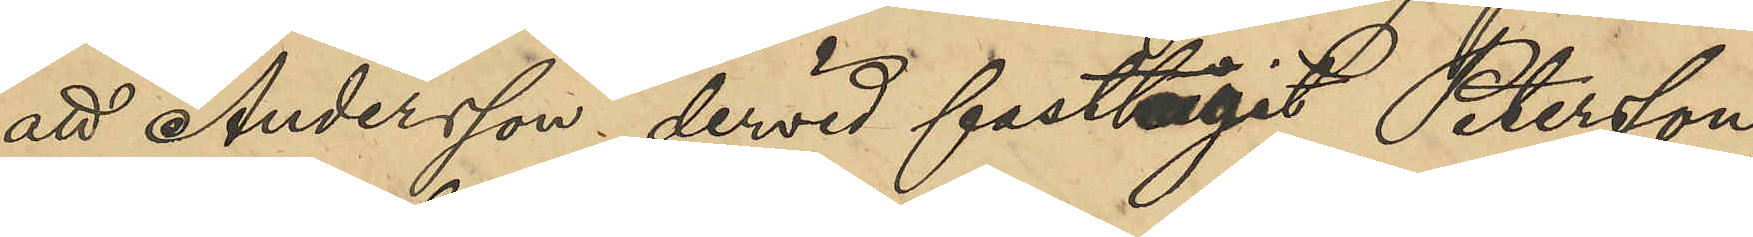att Andersson dervid fasttagit Petersson,
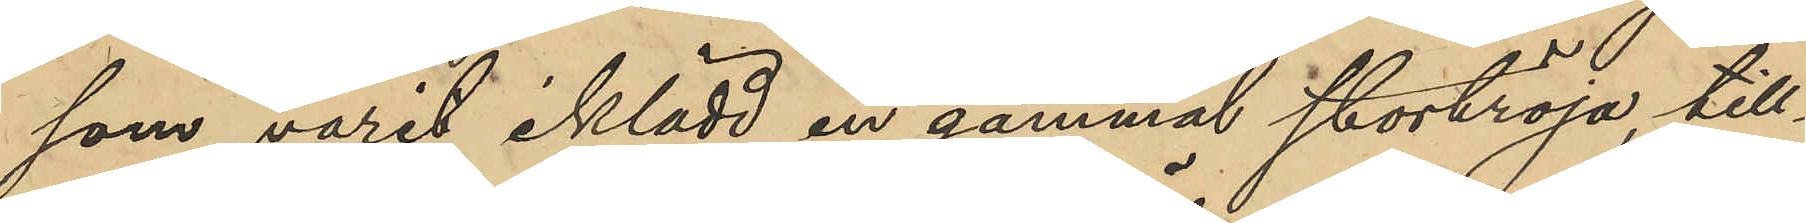som varit iklädd en gammal stortröja till¬
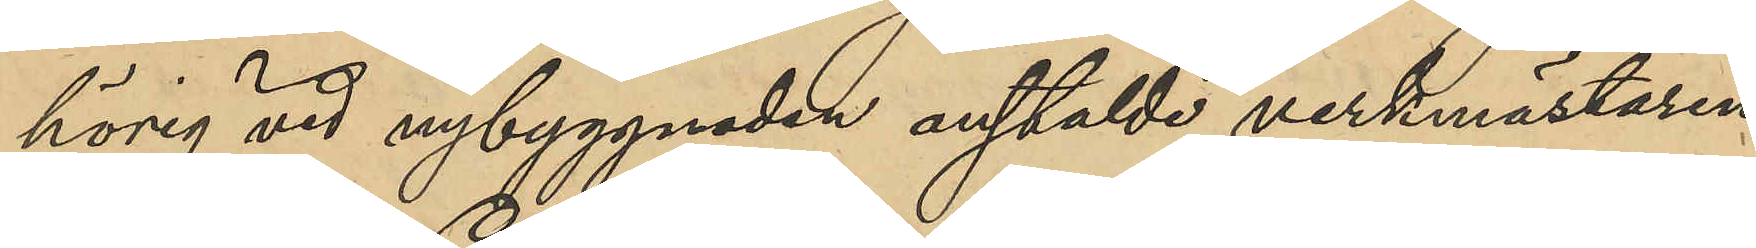hörig vid nybyggnaden anstälde verkmästaren
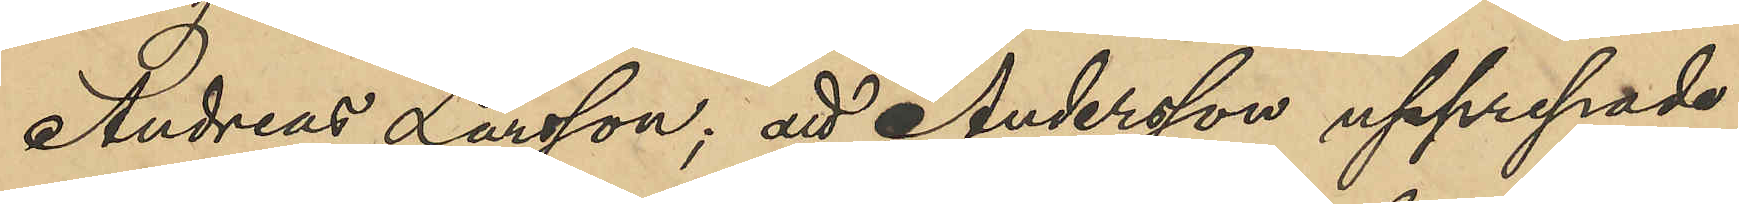Andreas Larsson; att Andersson upprepade
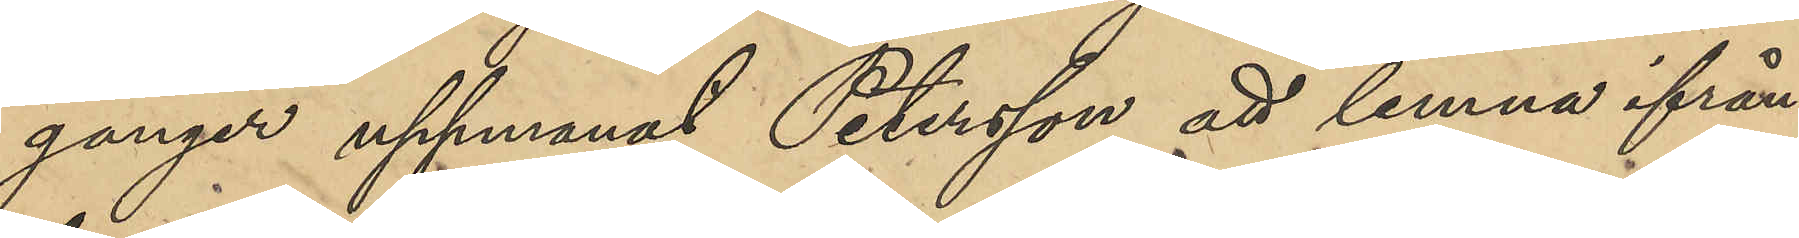gånger uppmanat Petersson att lemna ifrån
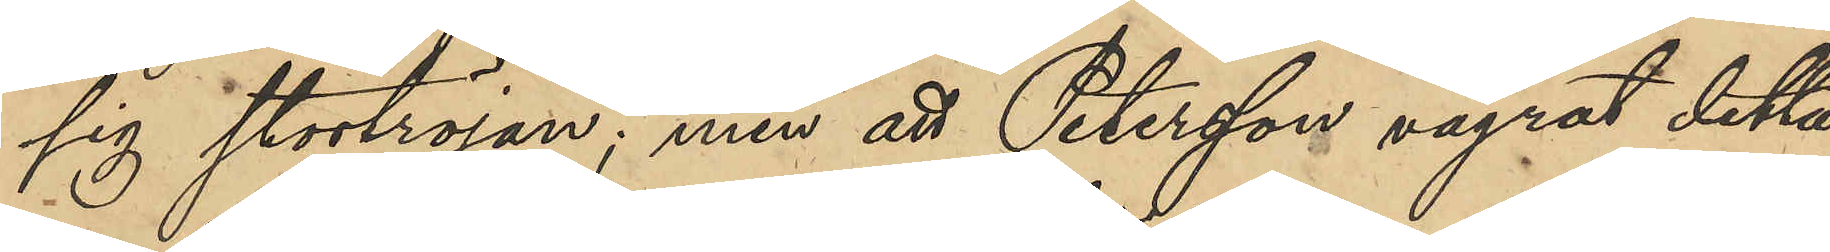sig stortröjan; men att Petersson vägrat detta
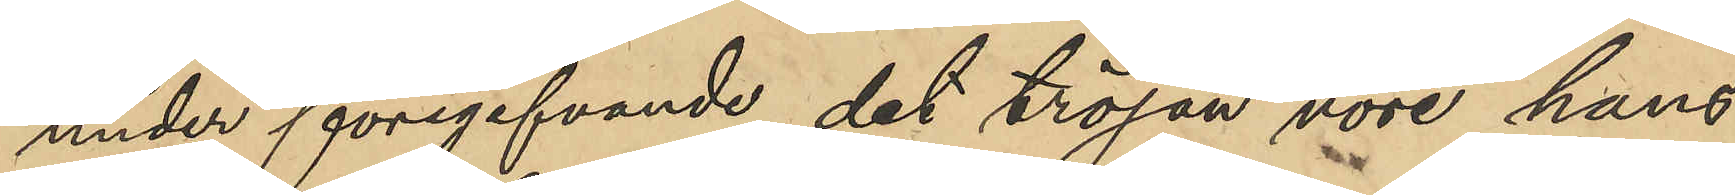under föregifvande det tröjan vore hans
